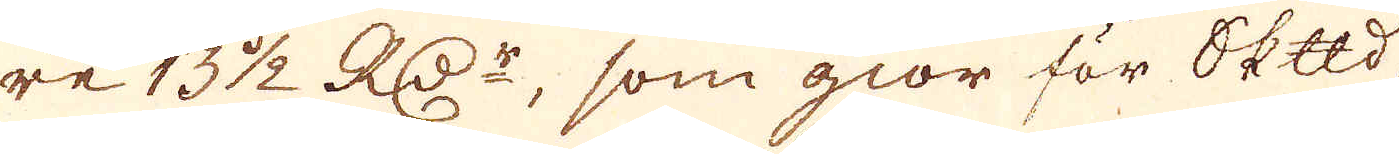re 13 1/2 RD:r, som giör för Skeppund
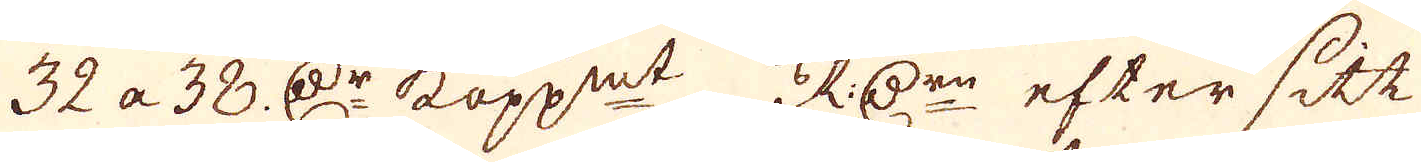32 a 38 D:r kopp:mt. RD:r efter sitt
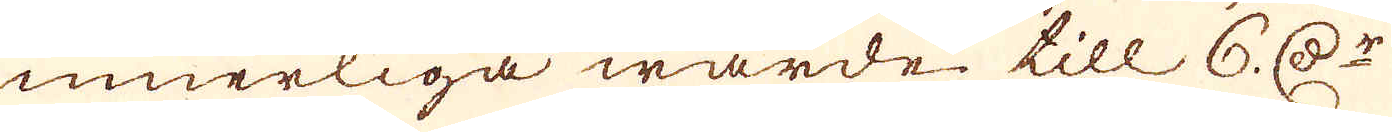innerliga wärde till 6. D:r
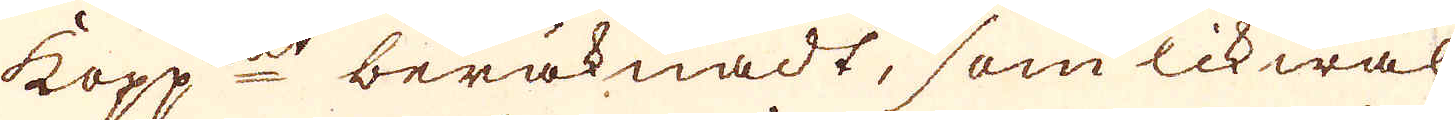Kopp:mt beräknadt, som likwäl
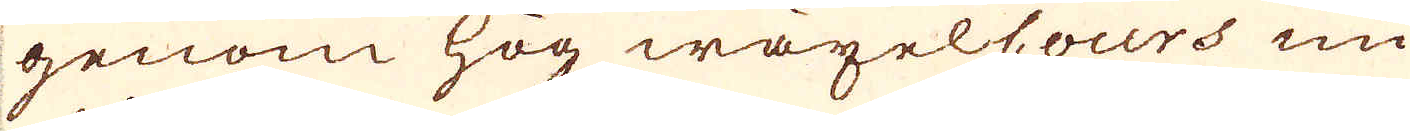genom hög wäxelcours nu
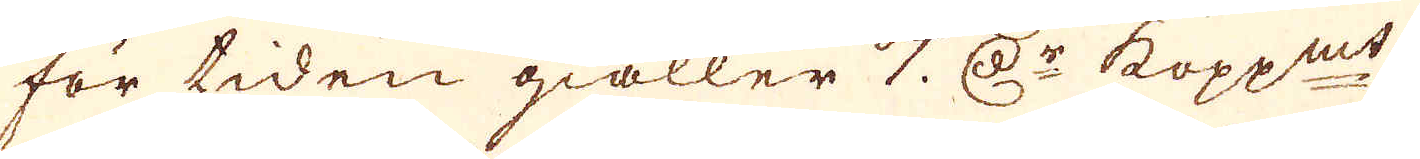för tiden giäller 7 D:r kopp:mt.
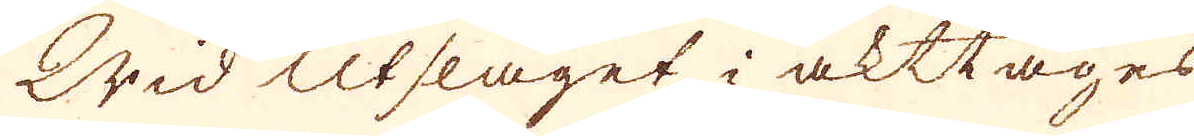Wid Utslaget i akttages
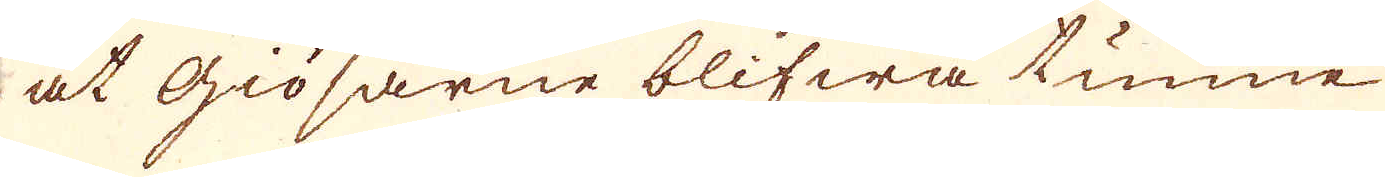at giösarne blifwa tunne
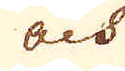och
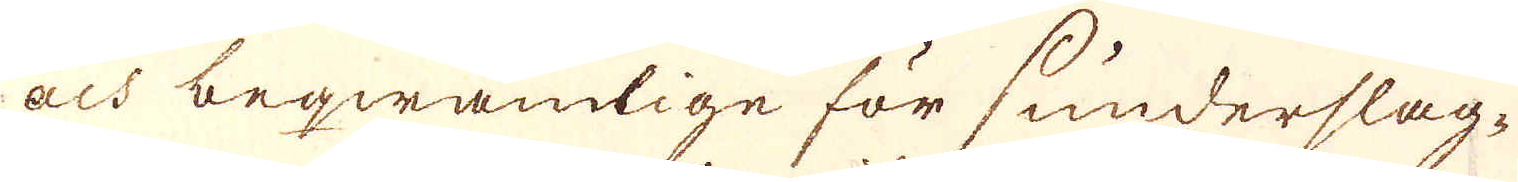och beqwämlige för sunderslag-
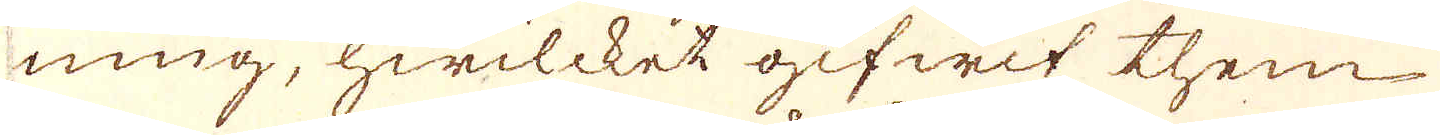ning, hwilcket gifwit them
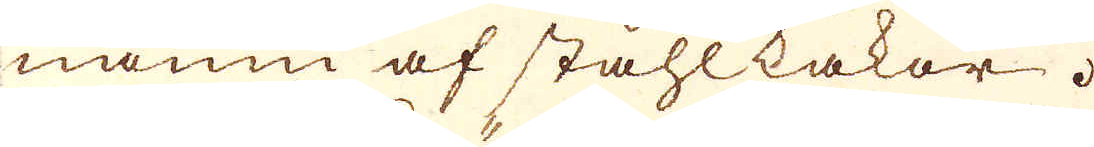namn af ståhlkakor.
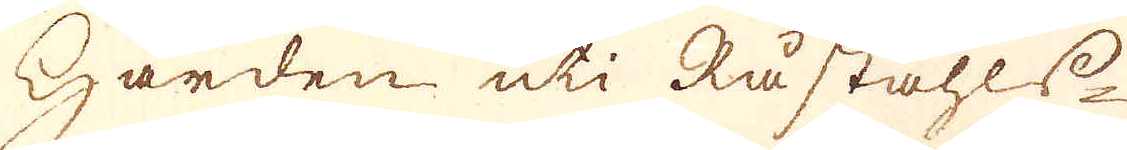Härden uti Råståhls-
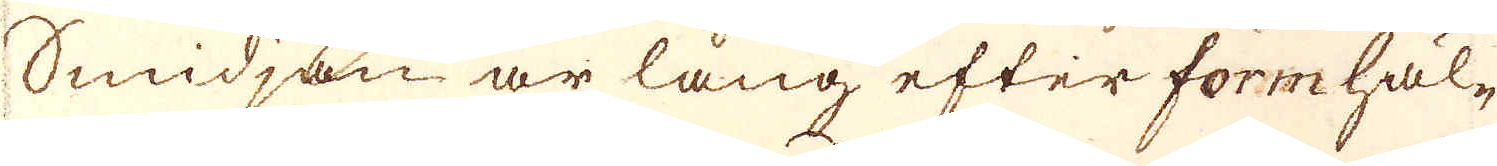Smidjan är lång efter formhäl-
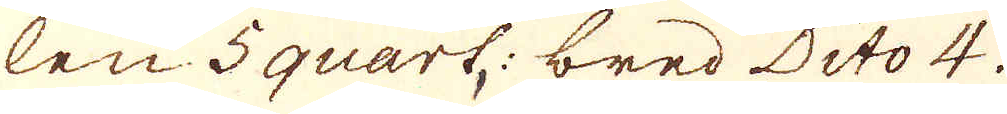len 5 quart bred Dito 4.
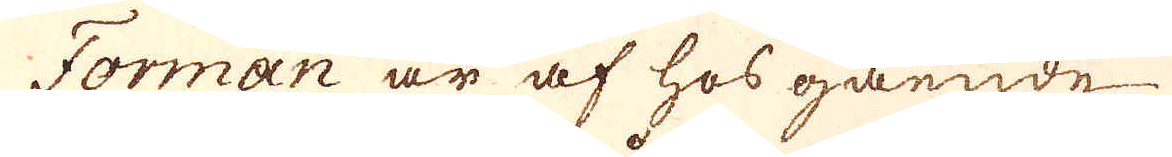Forman är af hosgående
